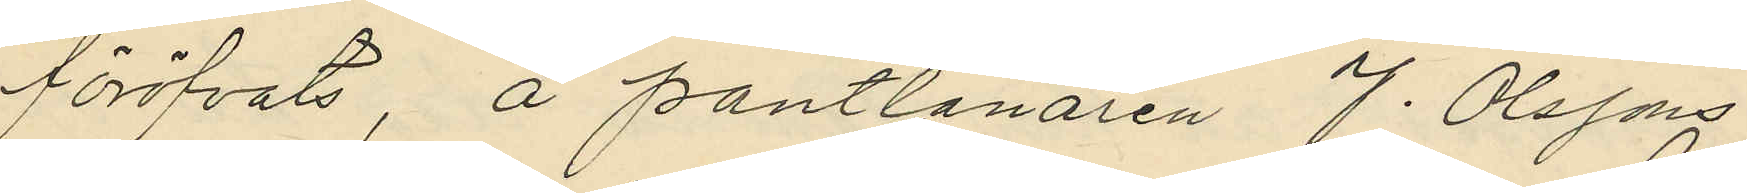föröfvats, å pantlånaren J. Olssons
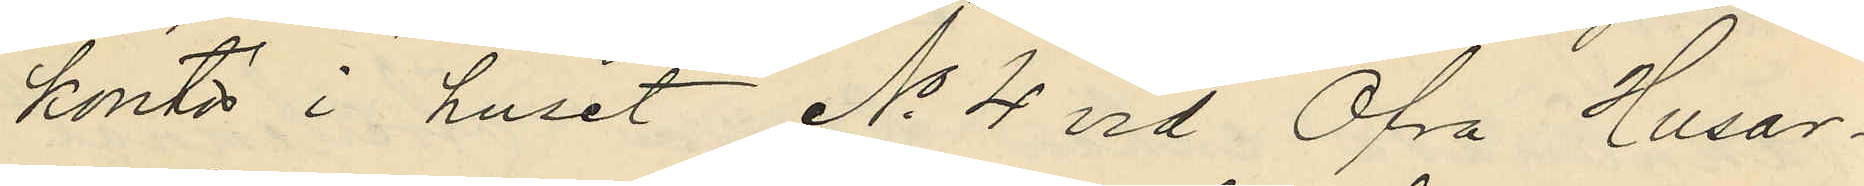kontor i huset No 4 och Öfra Husar¬
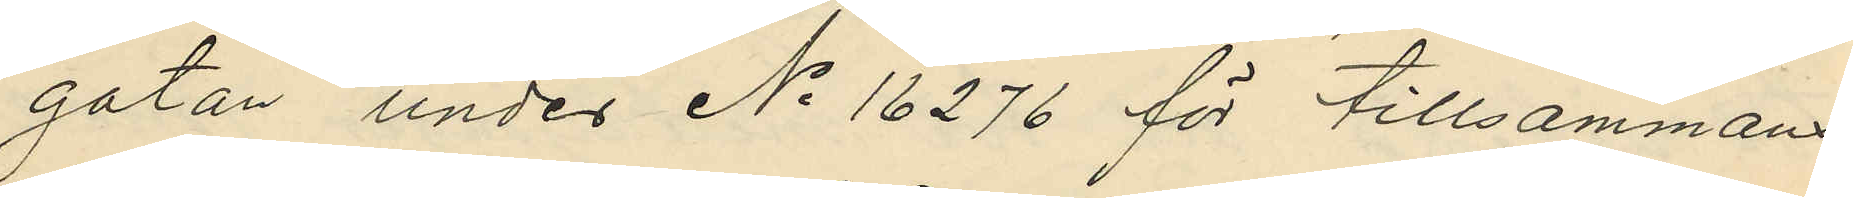gatan under No 16276 för tillsammans
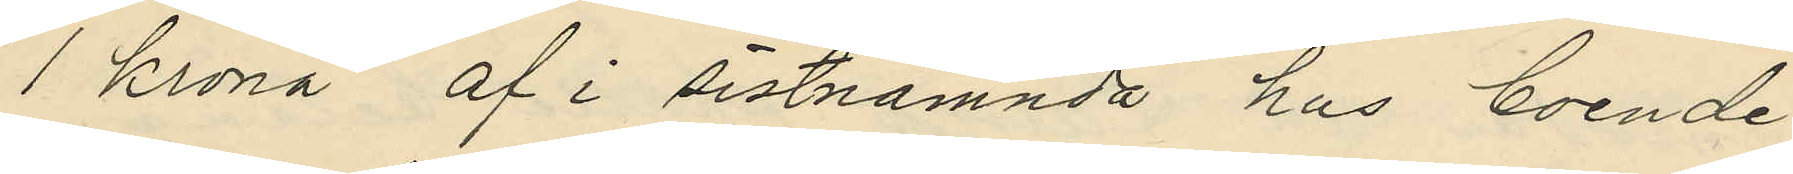1 krona af i sistnämnda hus boende
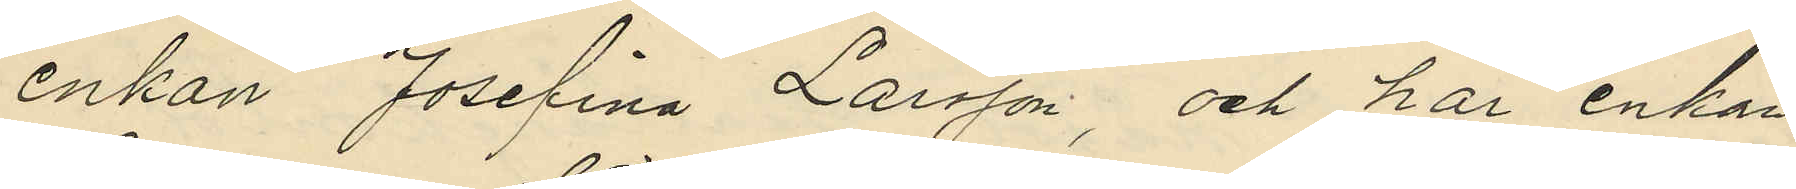enkan Josefina Larsson, och har enkan
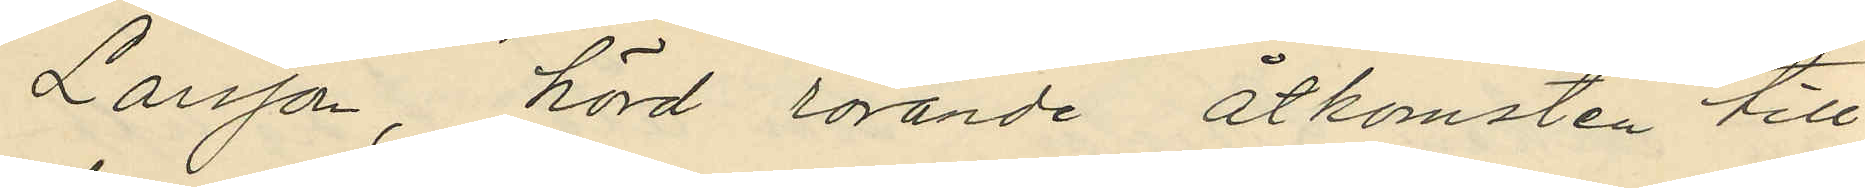Larsson, hörd rörande åtkomsten till
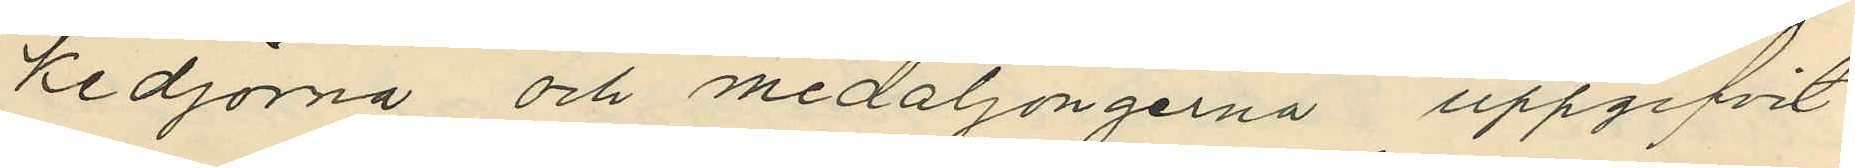kedjorna och medaljongerna uppgifvit
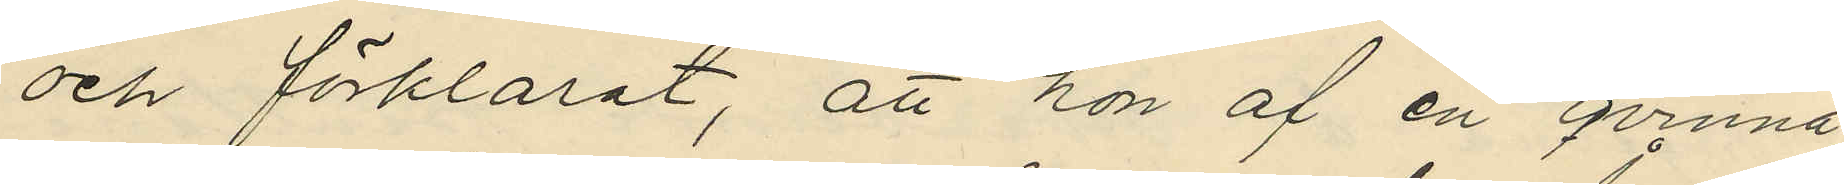och förklarat, att hon af en qvinna,
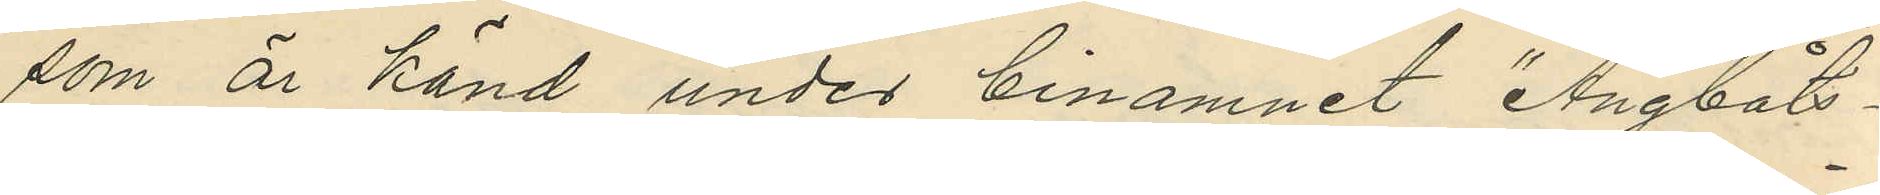som är känd under binamnet "Ångbåts-
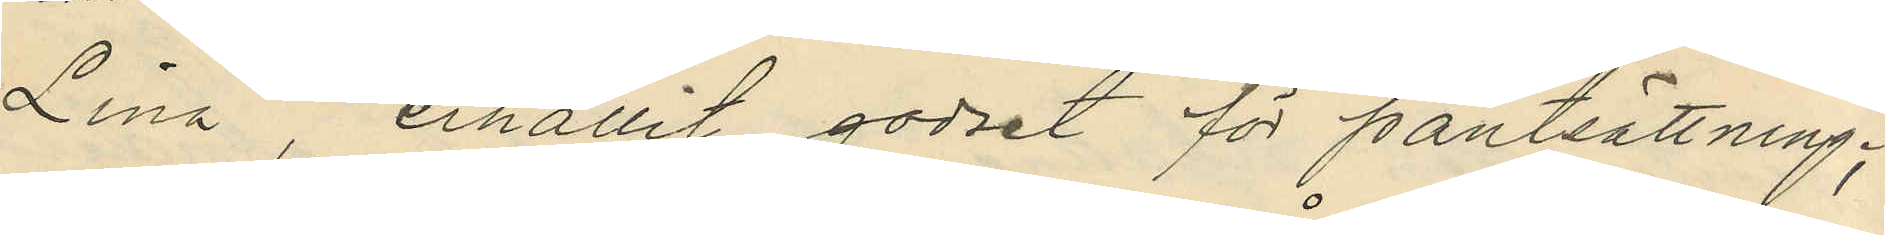Lina" erhållit godset för pantsättning;
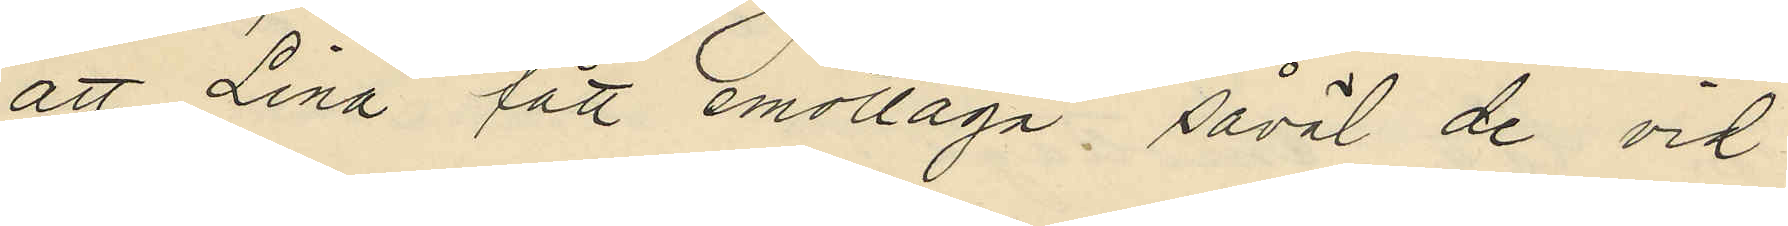att Lina fått emottaga, såväl de vid
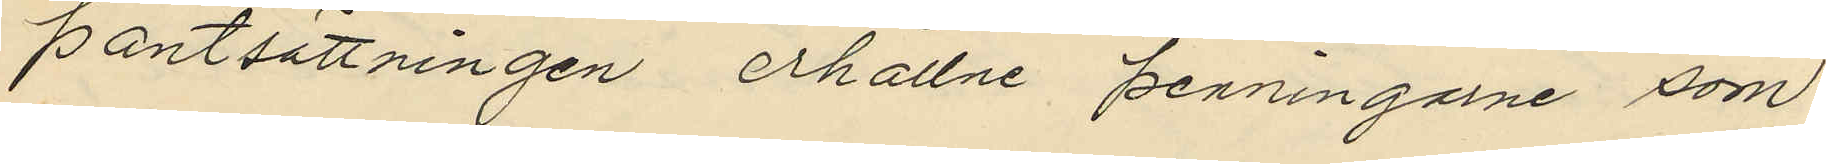pantsättningen erhållne penningarne som
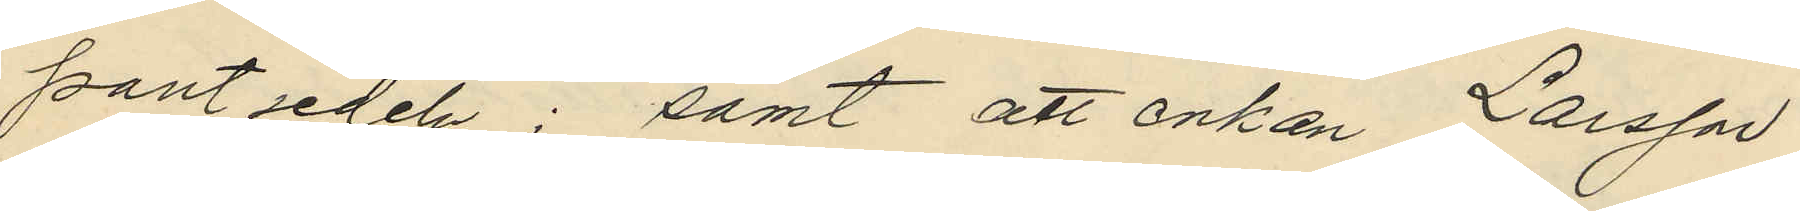pantsedeln; samt att enkan Larsson
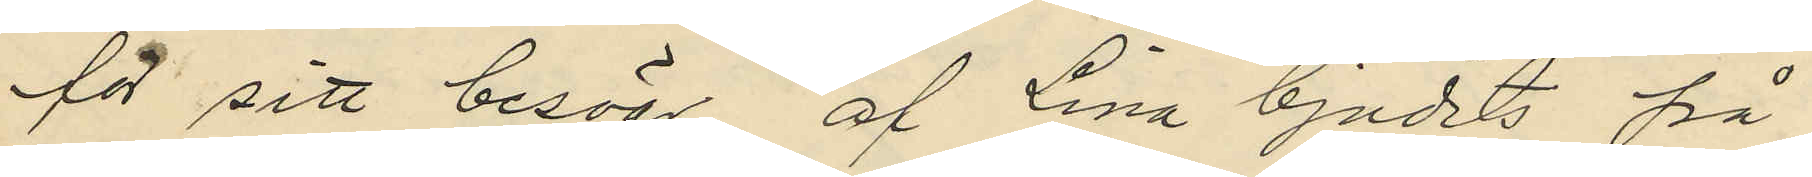för sitt besvär, af Lina bjudits på
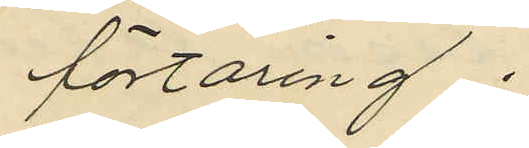förtäring.
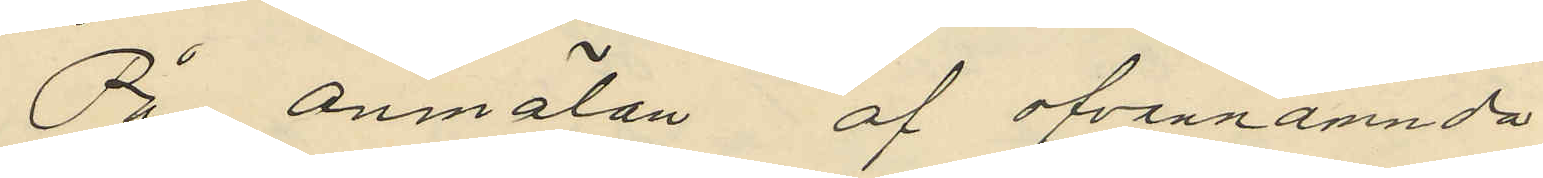På anmälan af ofvannämnda
